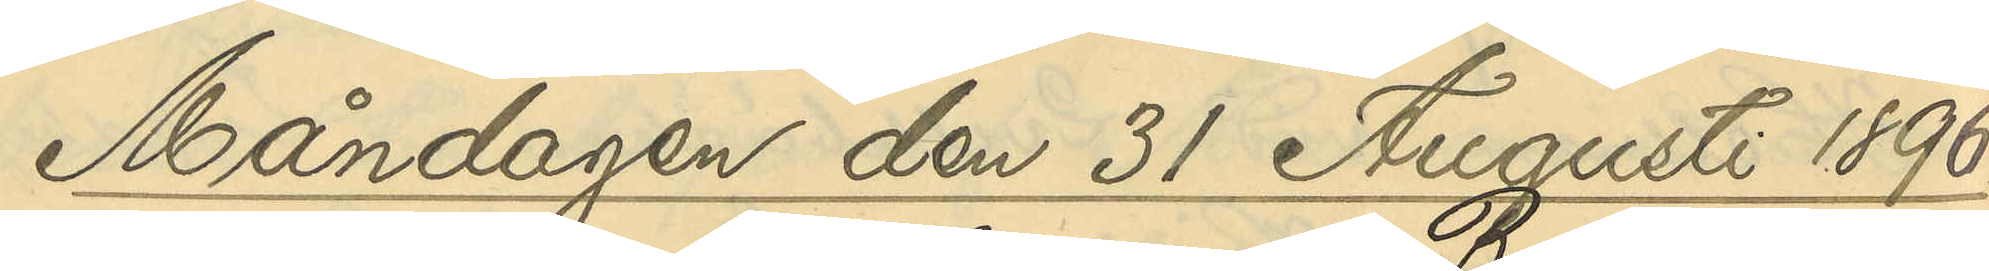Måndagen den 31 Augusti 1896.
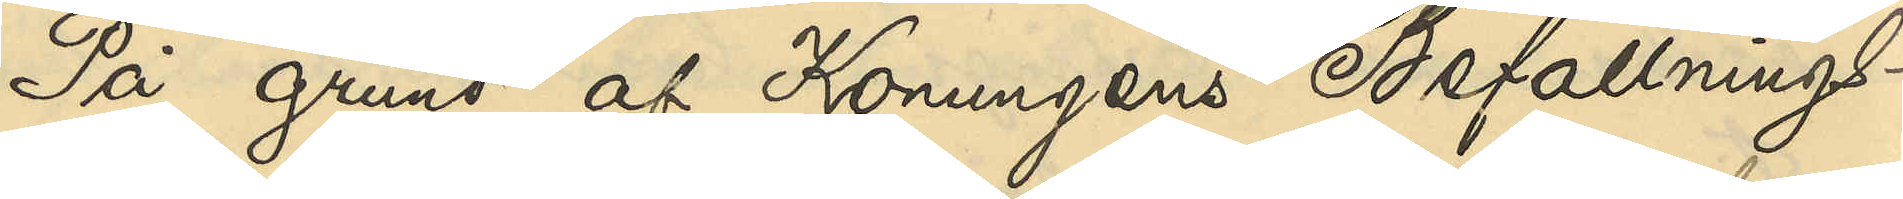På grund af Konungens Befallnings¬
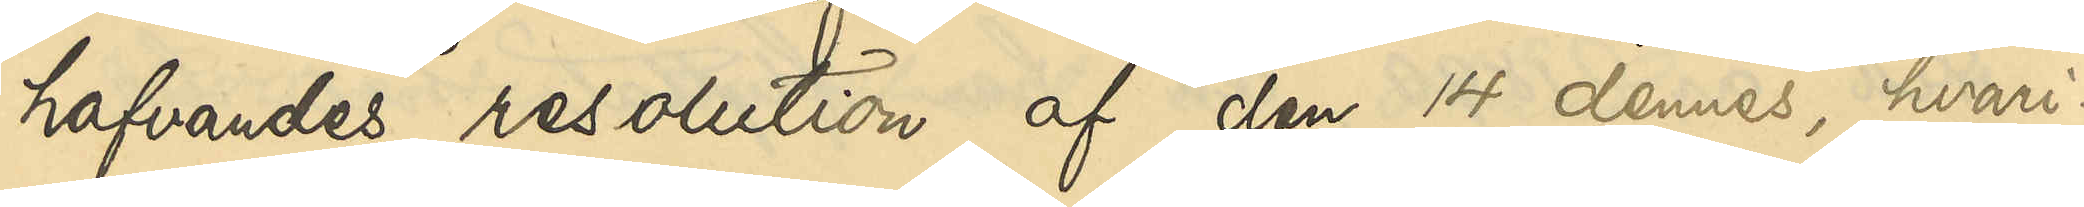hafvandes resolution af den 14 dennes, hvari¬
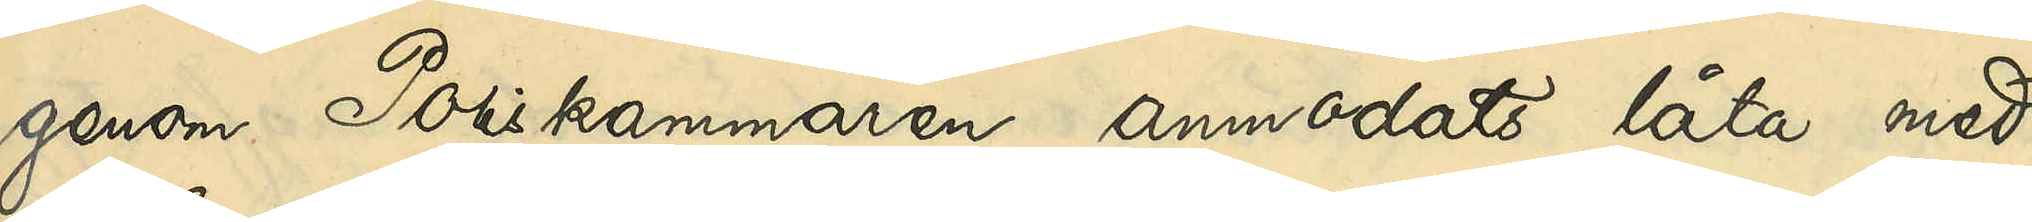genom Poliskammaren anmodats låta med
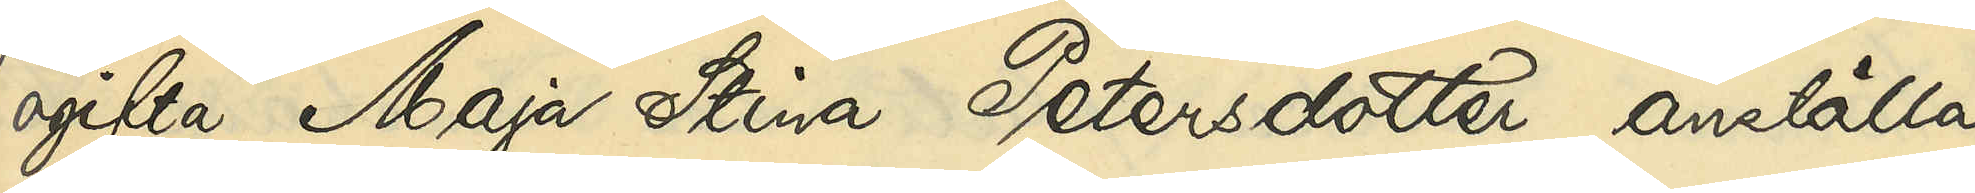ogifta Maja Stina Petersdotter anställa
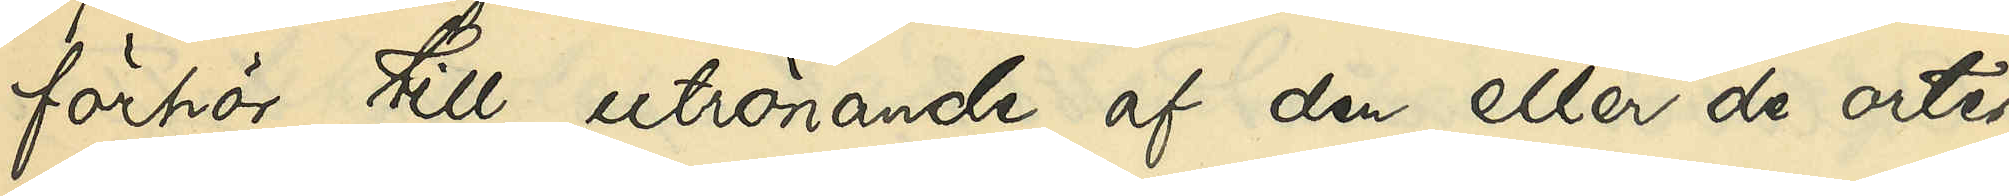förhör till utrönande af den eller de orter
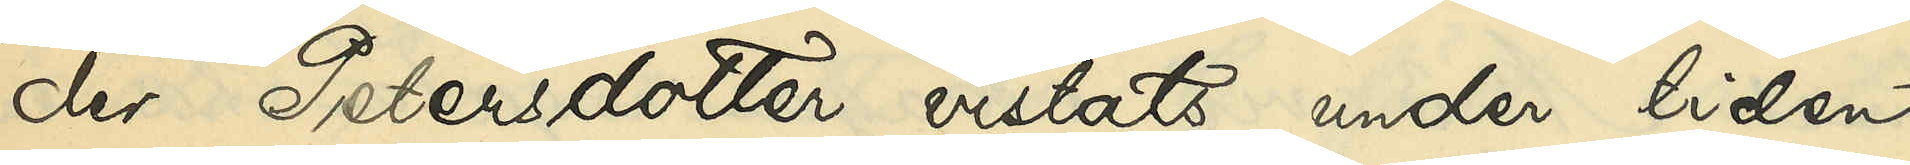der Petersdotter vistats under tiden
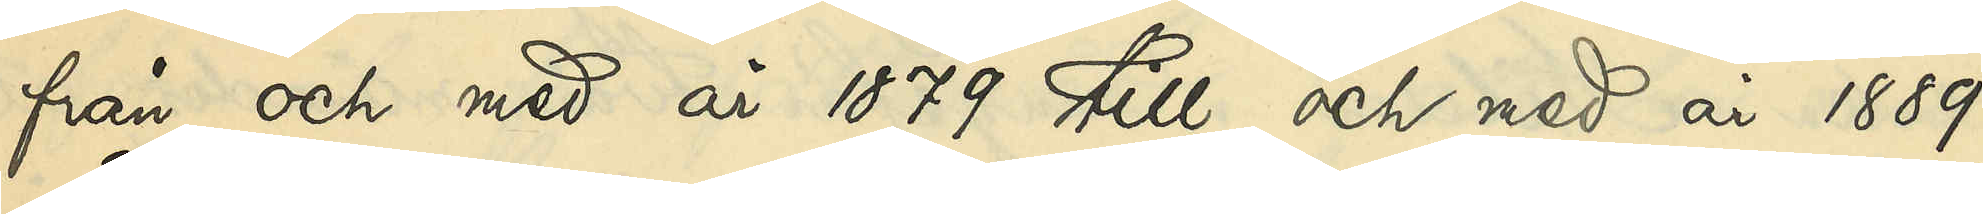från och med 1879 till och med år 1889,
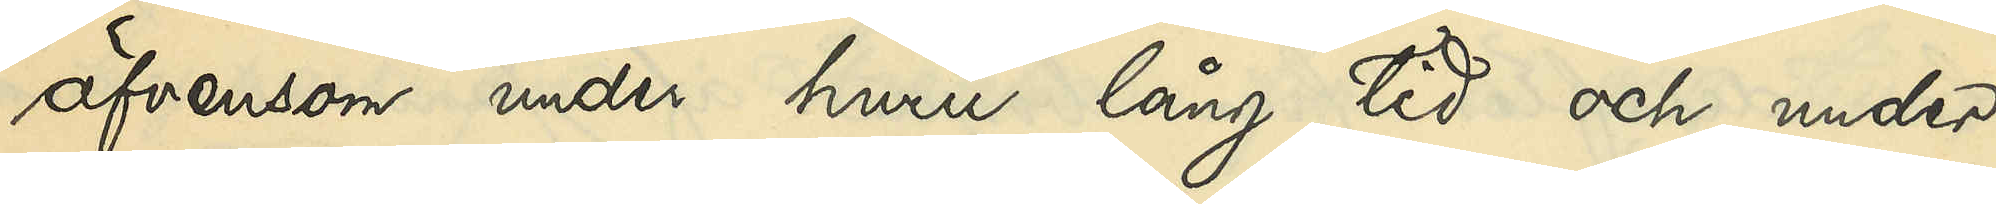äfvensom under huru lång tid och under
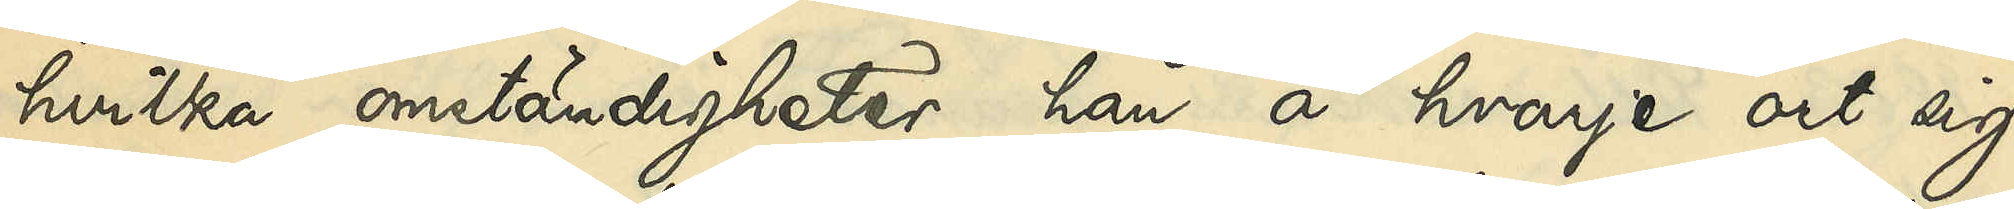hvilka omständigheter hon å hvarje ort sig
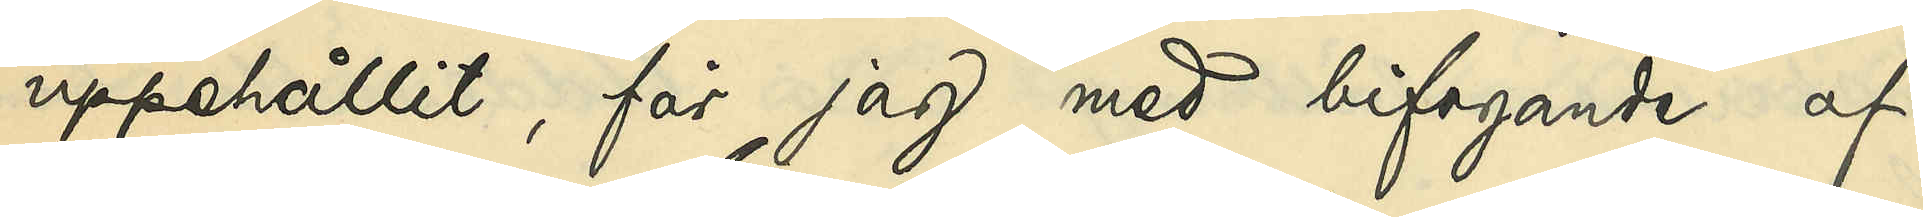uppehållit, får jag med bifogande af
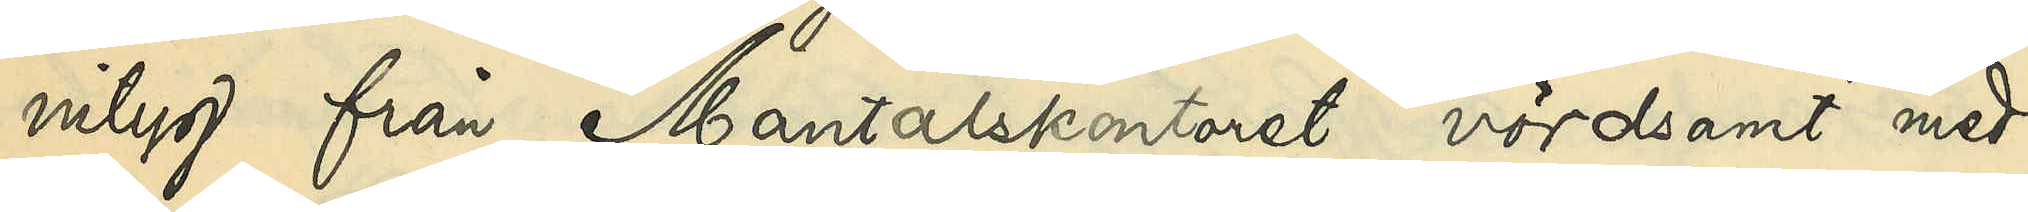intyg från Mantalskontoret vördsamt med¬
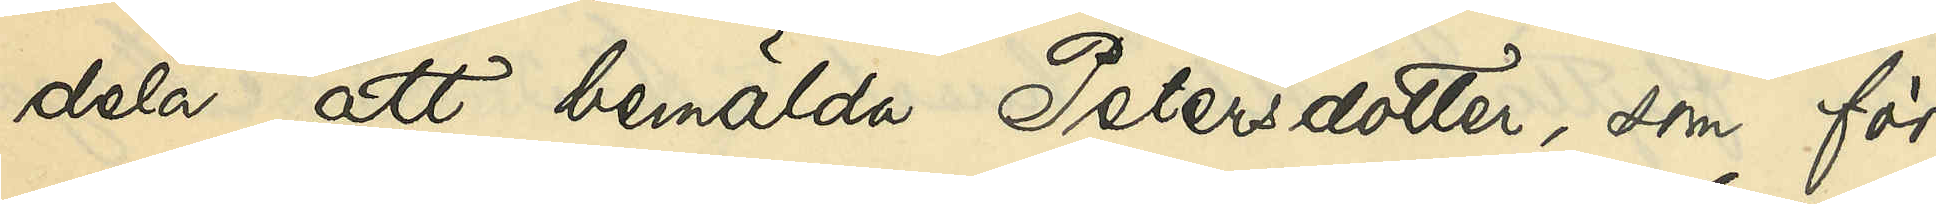dela, att bemälda Petersdotter, som för
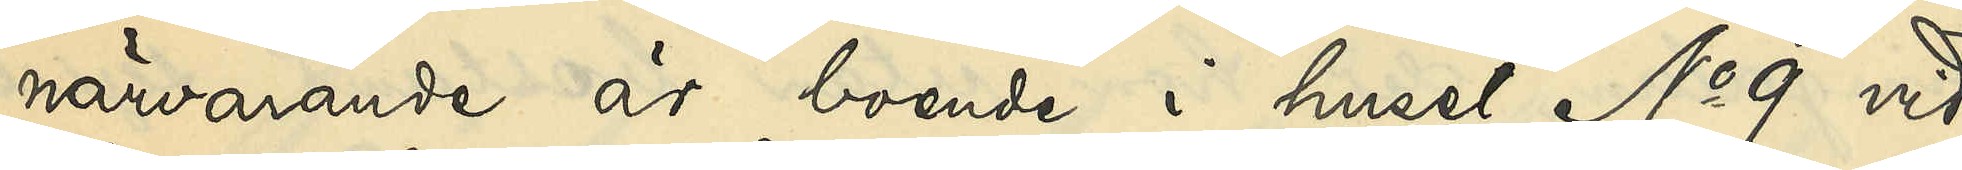närvarande är boende i huset No 9 vid
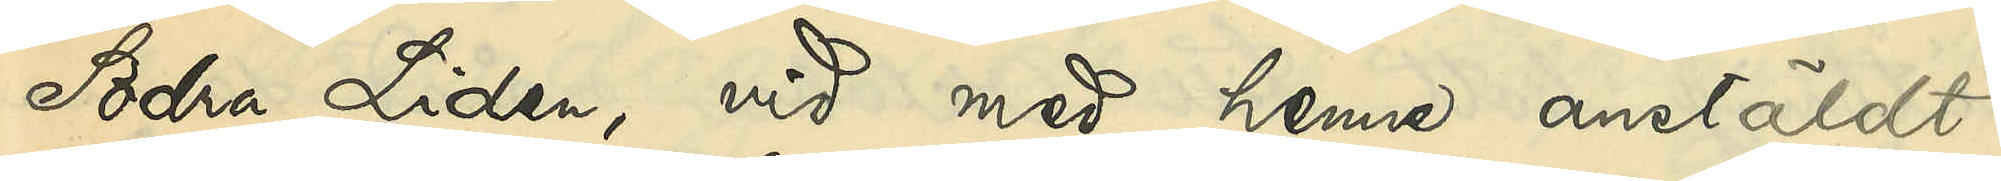Södra Liden, vid med henne anstäldt
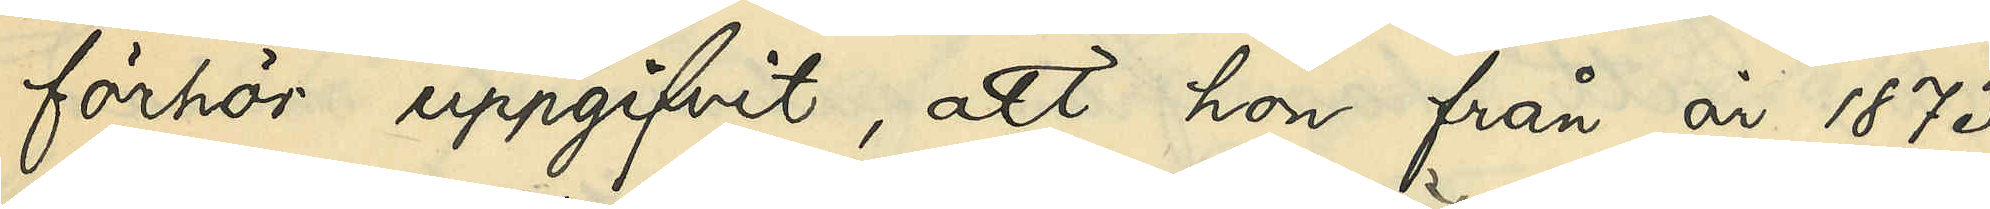förhör uppgifvit, att hon från år 1873
